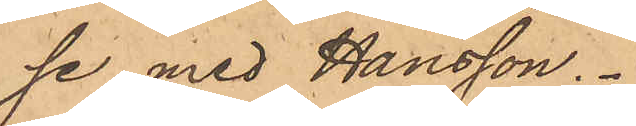se med Hansson.
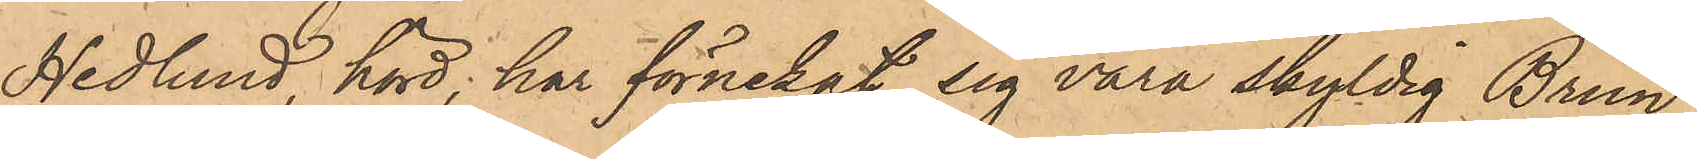Hedlund, hörd, har förnekat sig vara skyldig Brun
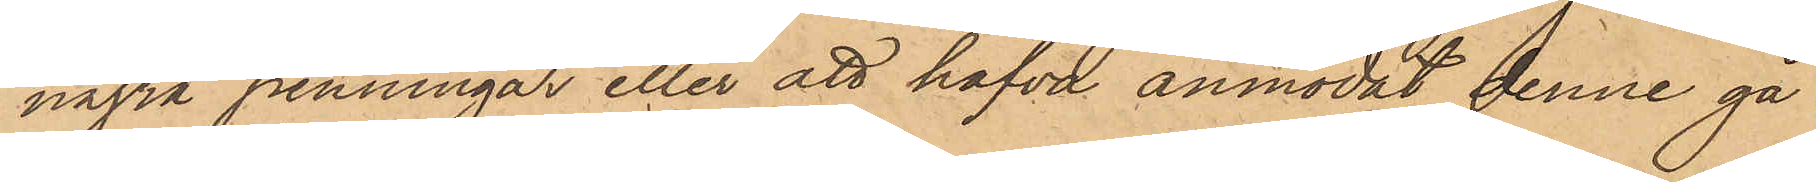några penningar eller att hafva anmodat denne gå
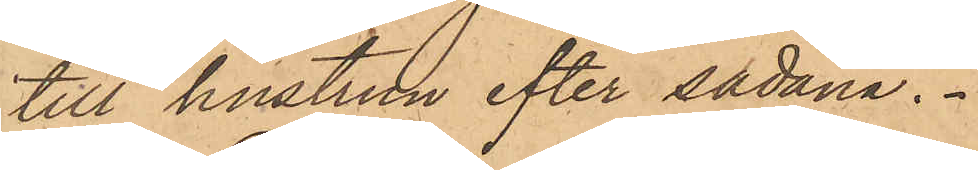till hustrun efter sådana.
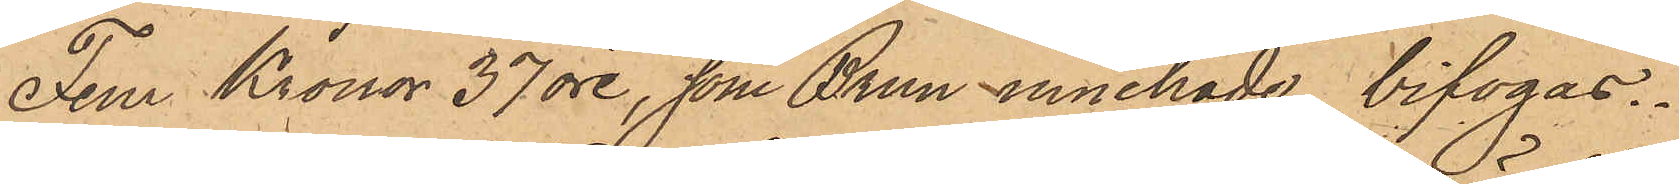Fem Kronor 37 öre, som Brun innehade, bifogas.
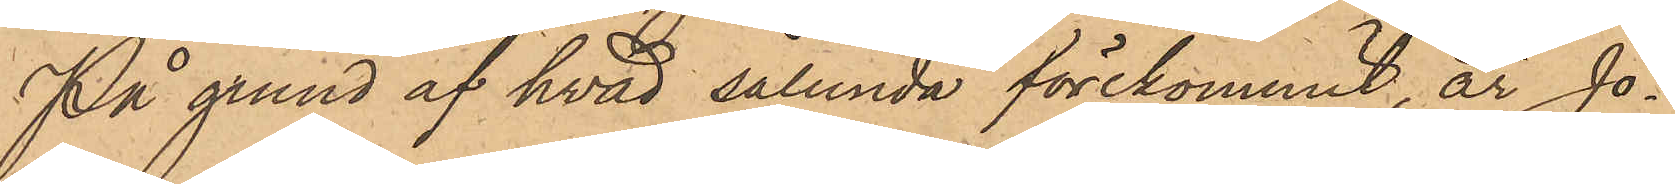På grund af hvad sålunda förekommit, är Jo¬
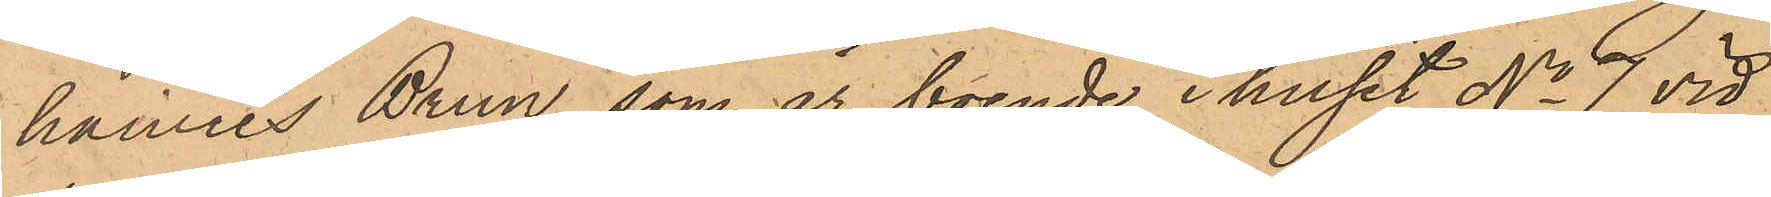hannes Brun, som är boende i huset No 7 vid
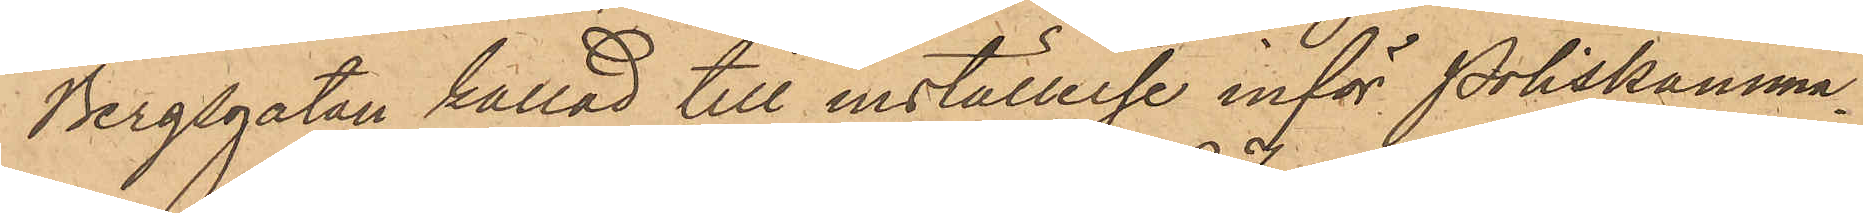Bergsgatan kallad till inställelse inför Poliskamma¬
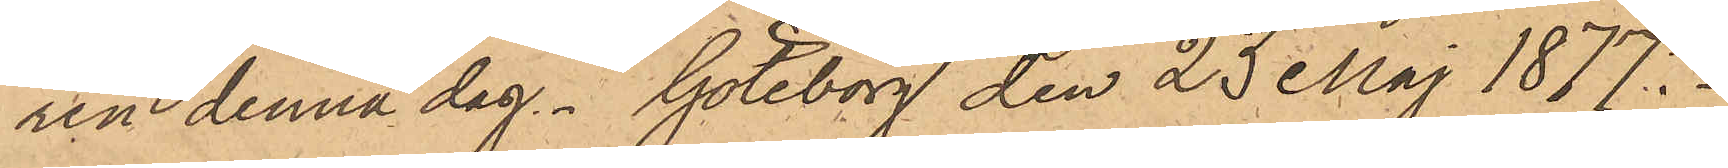ren denna dag. Göteborg den 23 Maj 1877.
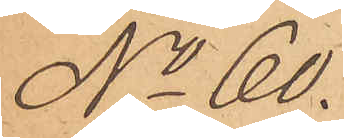No 60.
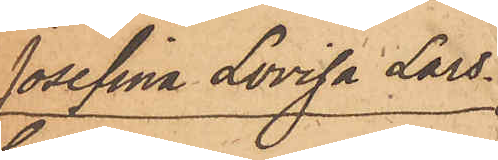Josefina Lovisa Lars¬
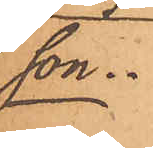son.
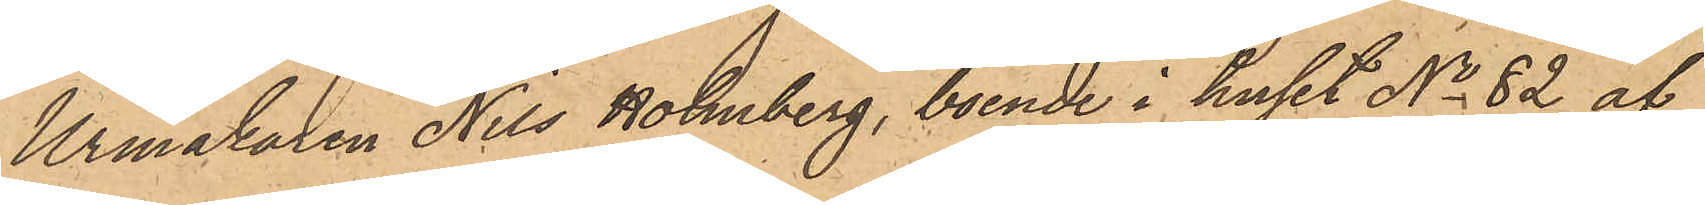Urmakaren Nils Holmberg, boende i huset No 82 af
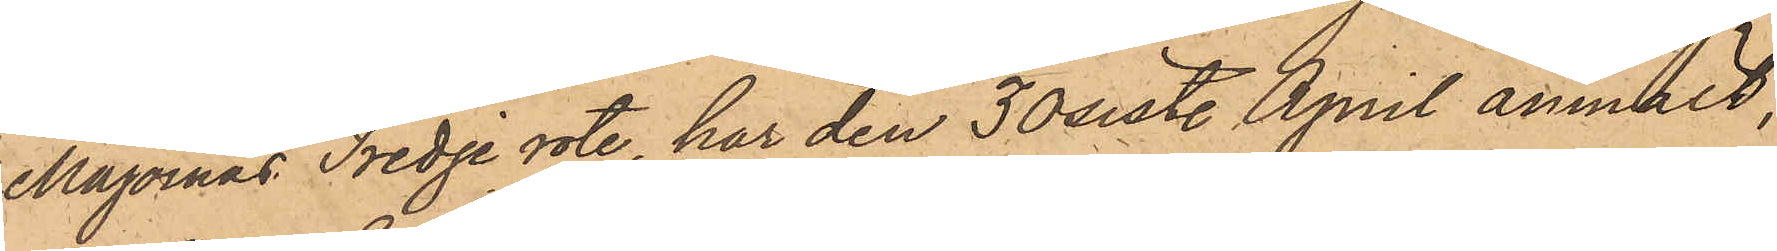Majornas Tredje rote, har den 30 sist. April anmält,
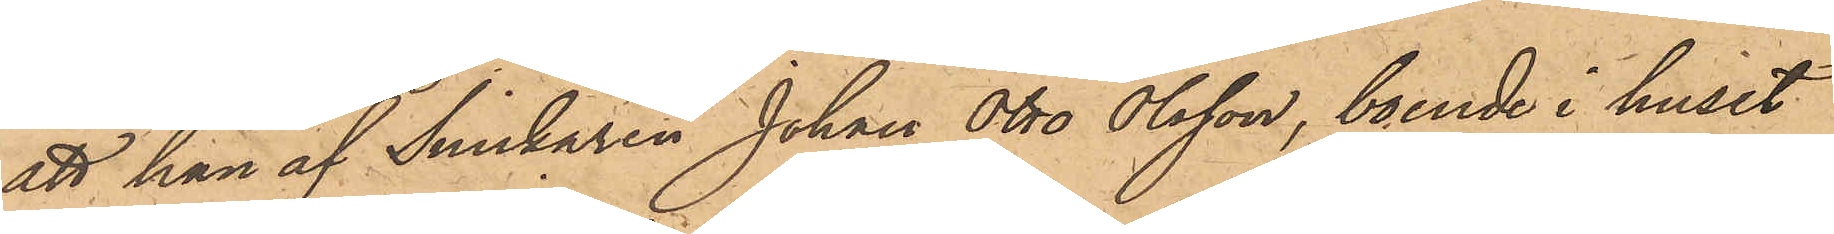att han af Snickaren Johan Otto Olsson, boende i huset
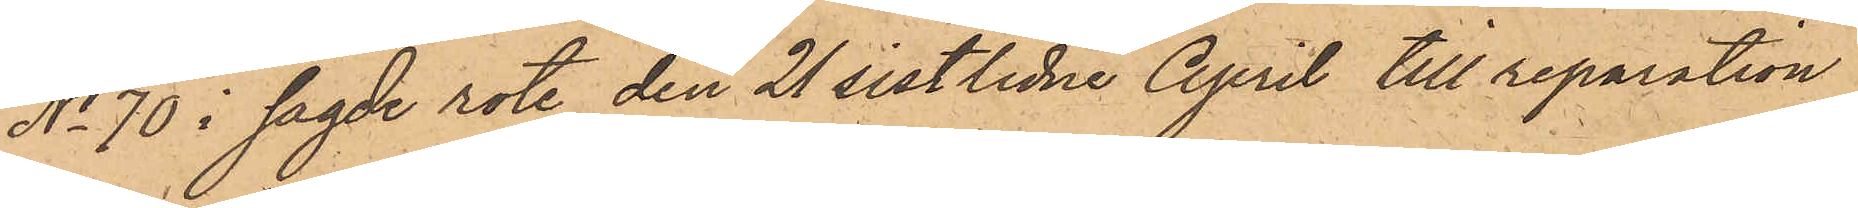No 70 i sagde rote den 21 sistlidne April till reparation
